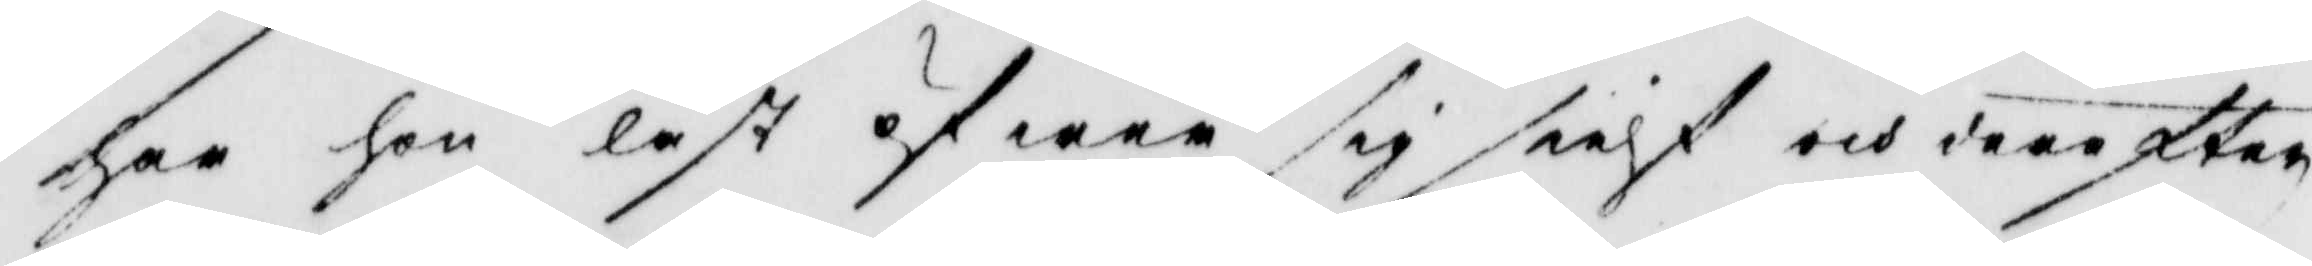har hon läst öfwer sig sielf och derefter
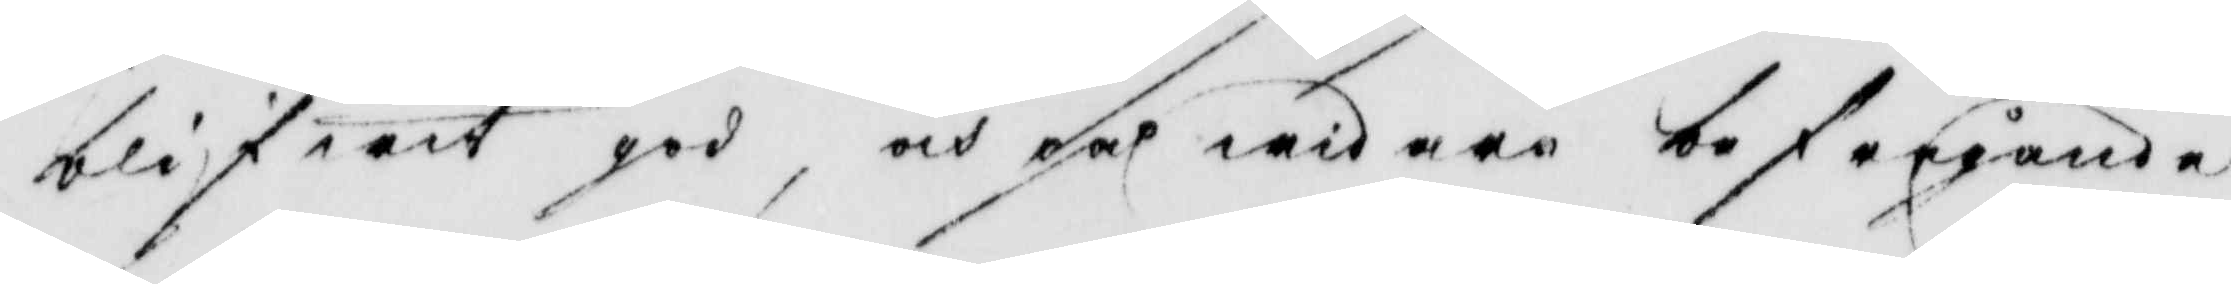blifwit god, och på widare befergående
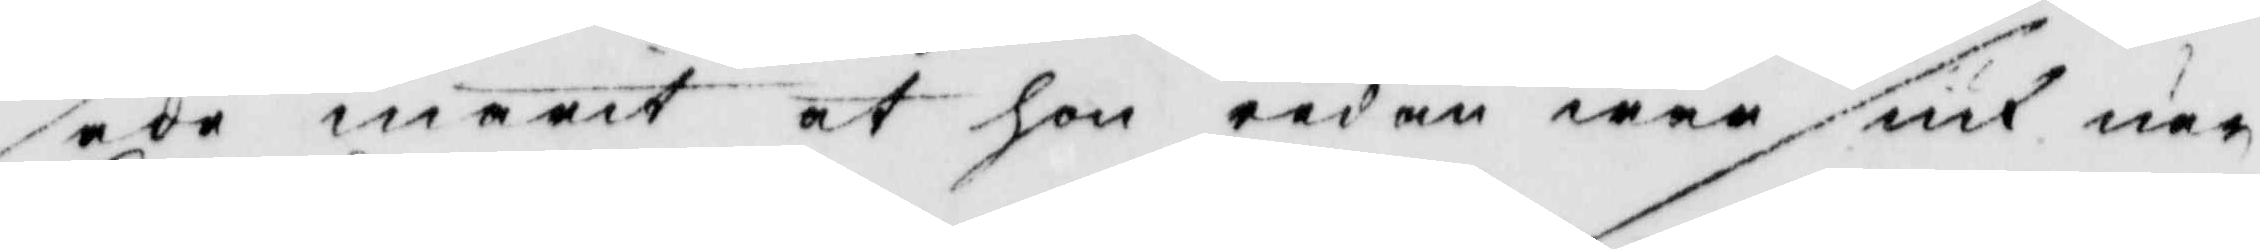sade marit at hon redan war siuk när
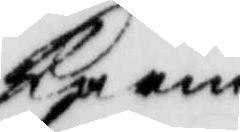Karin
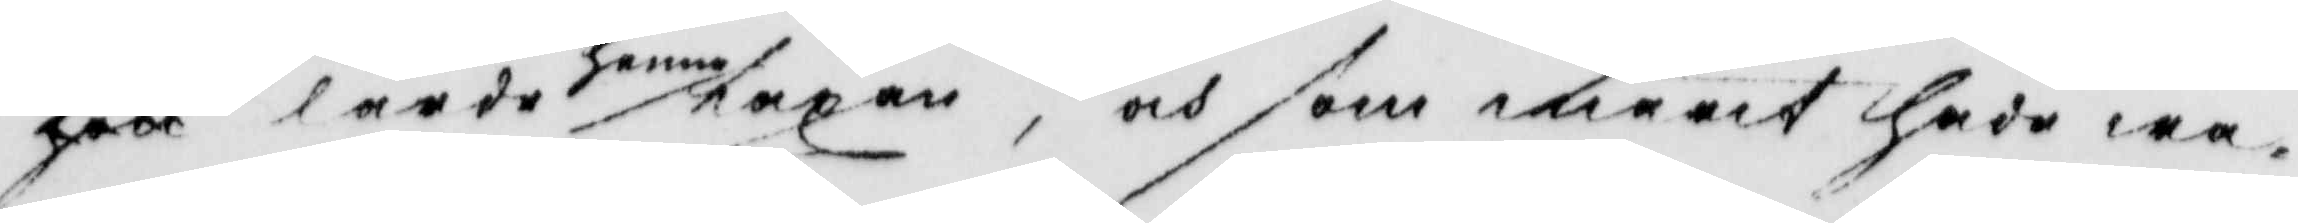har lärde henne läxan, och som marit hade wa¬
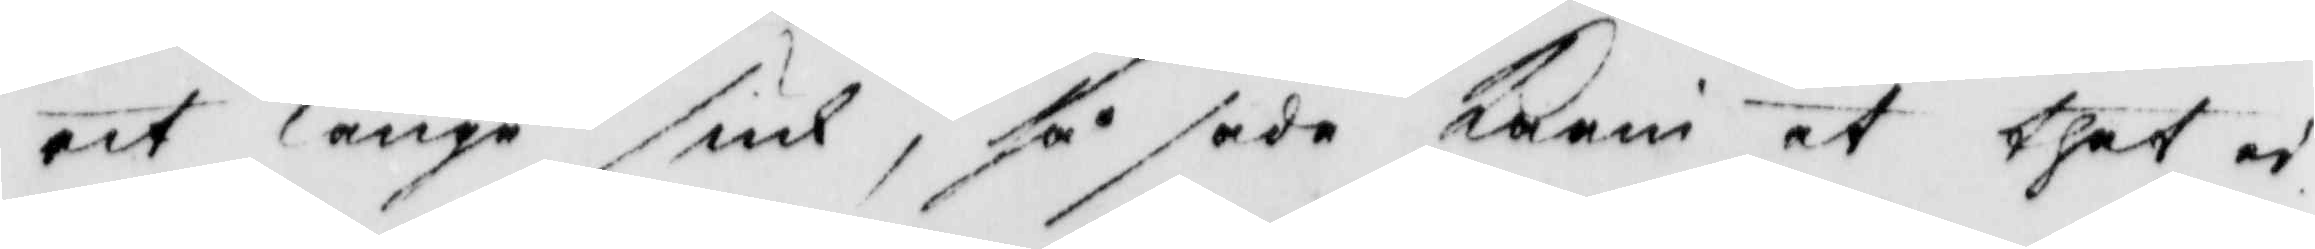rit länge siuk, så sade karin at thet ei
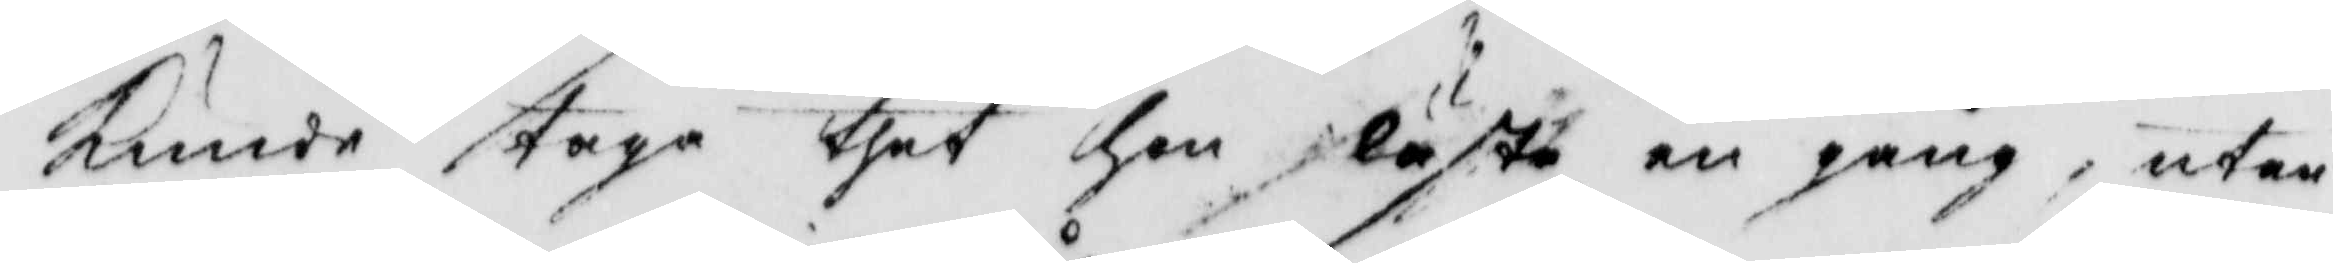kunde taga thet hon läste en gång, utan
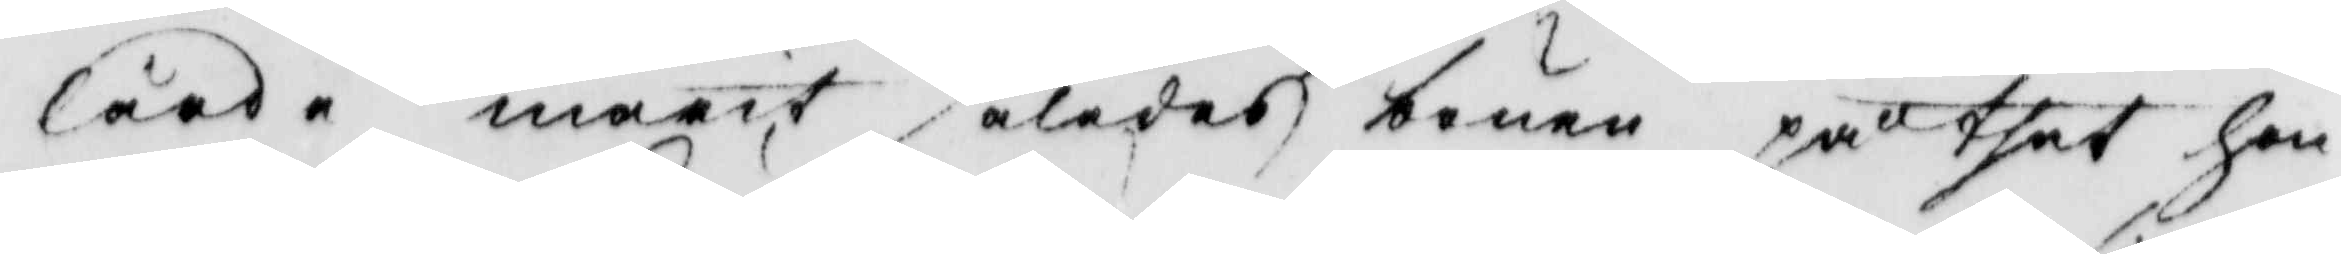lärde marit således bönen på thet hon
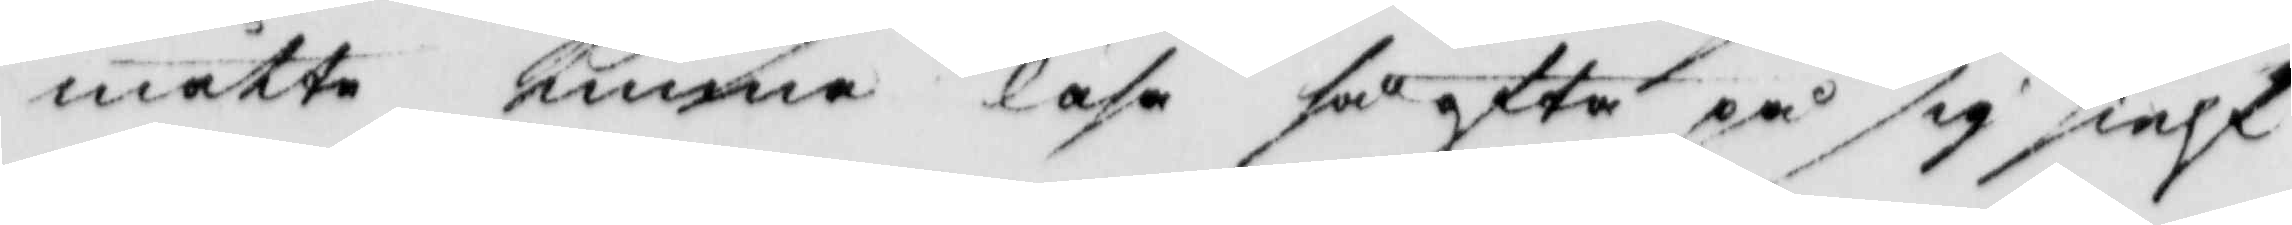måtte kunna läsa så efter på sig sielf
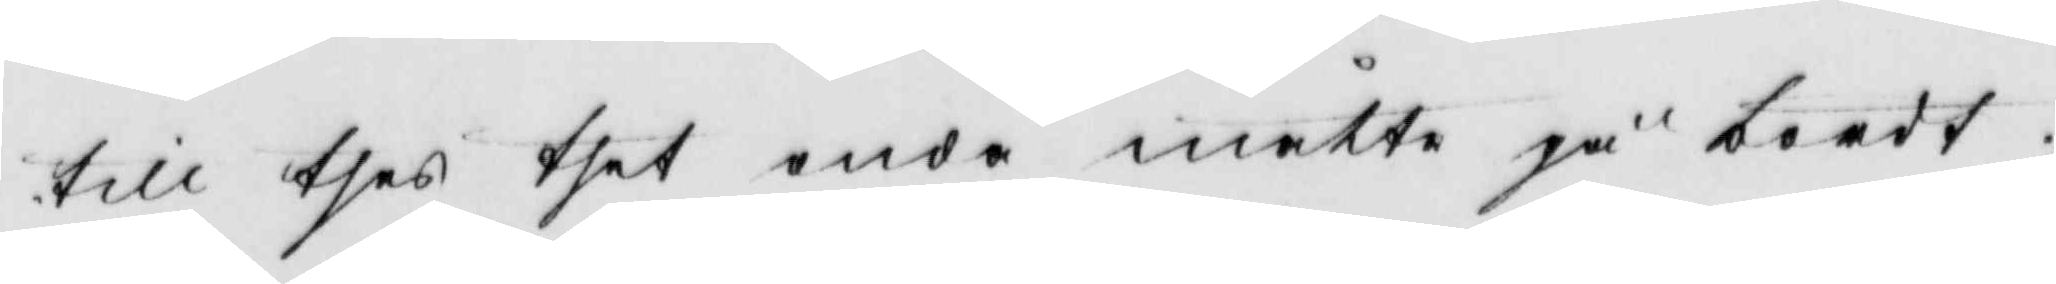till tet onda måtte gå bordt,
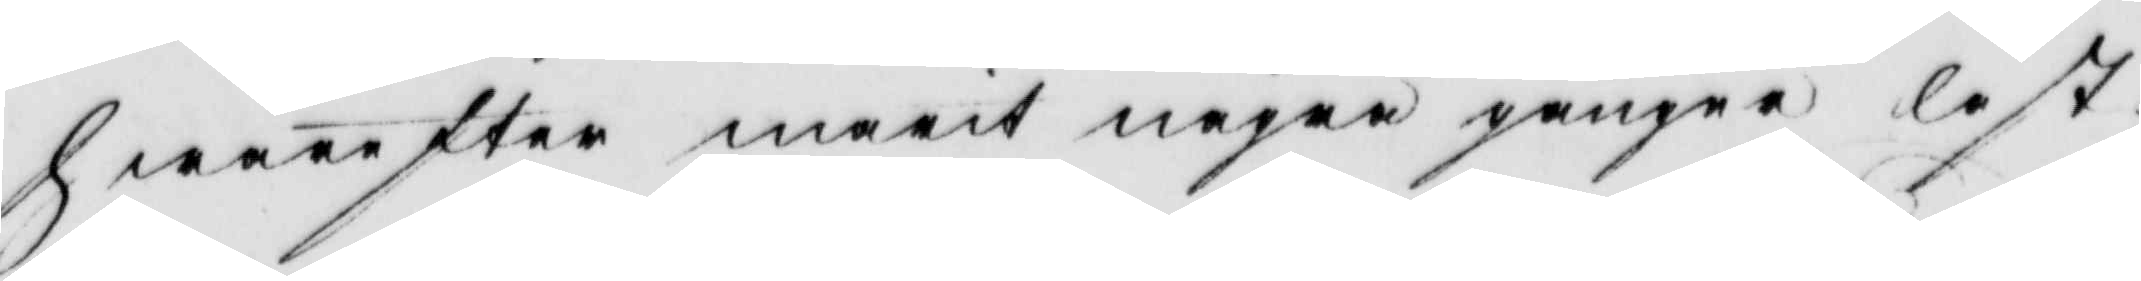hearefter marit några gånger läst
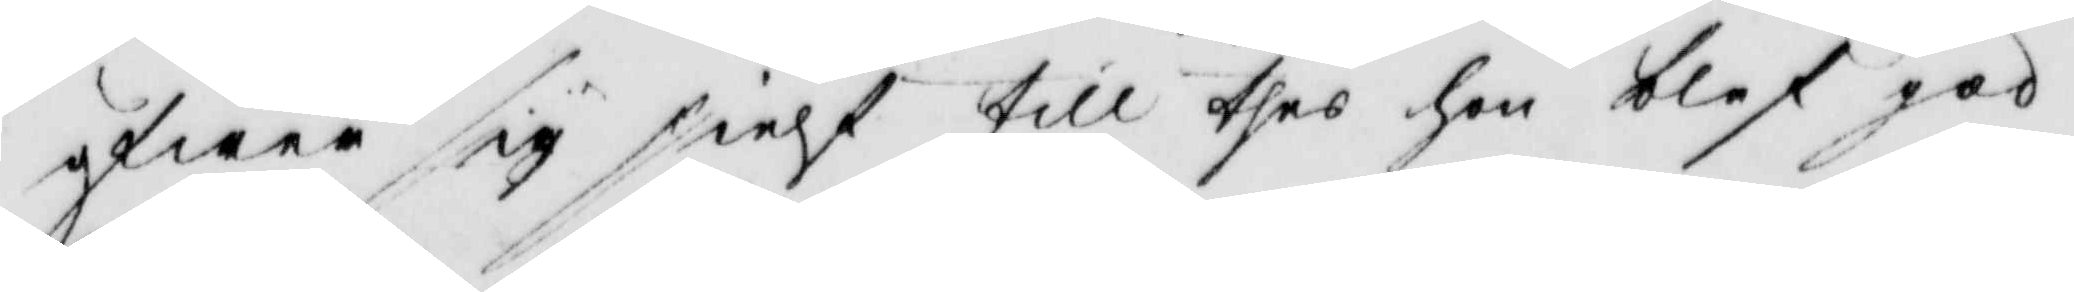öfwer sig sielf till thes hon blef god.
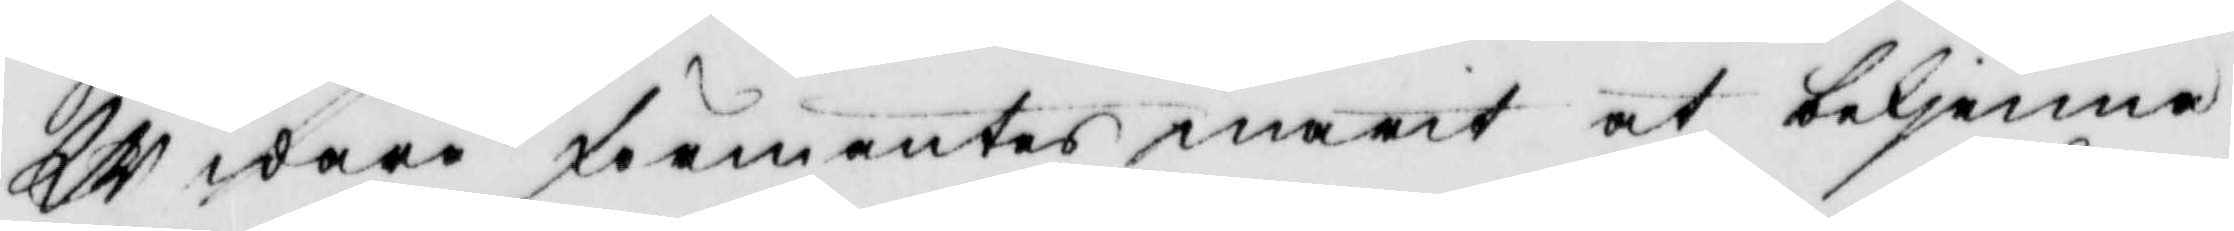Widare färmentes marit at bekjenna
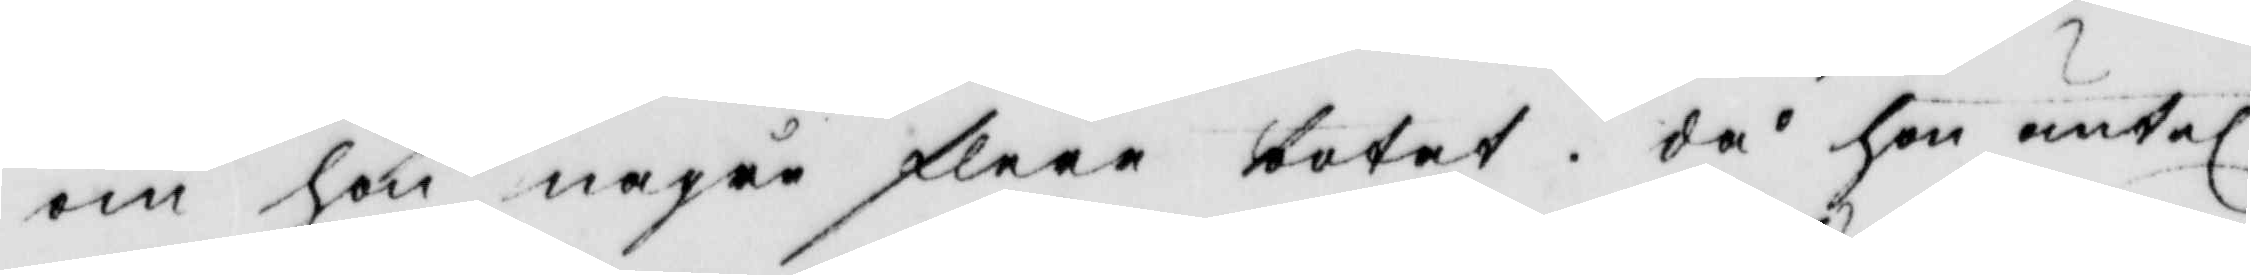om hon några flere botat, då hon äntel.
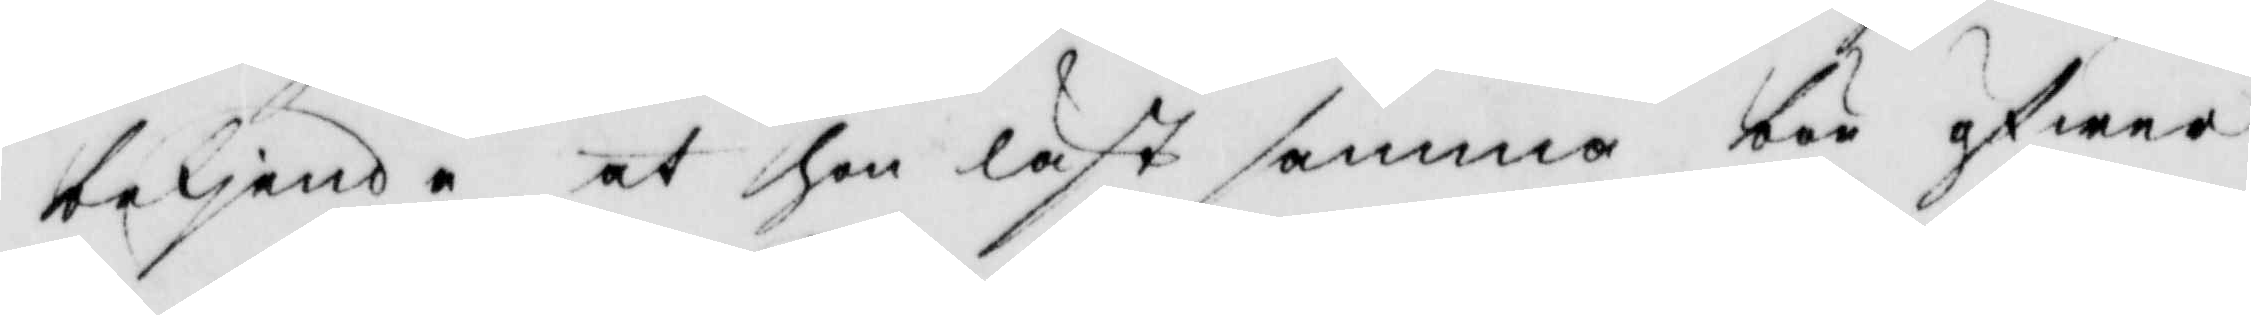bekjende at hon läst samma bön öfwer
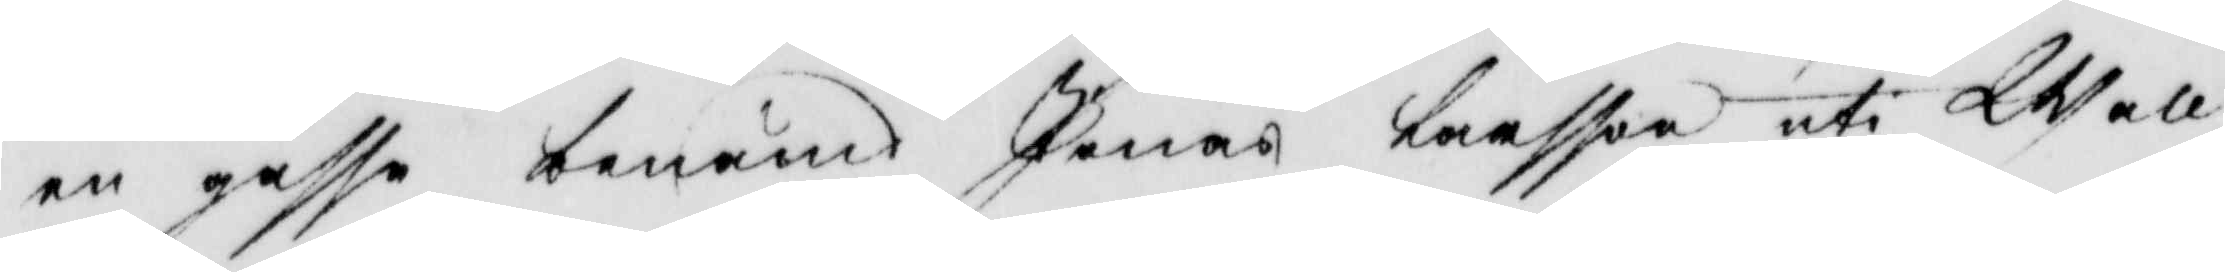en gåsse benämnd Jonas larsson uti Wall¬
